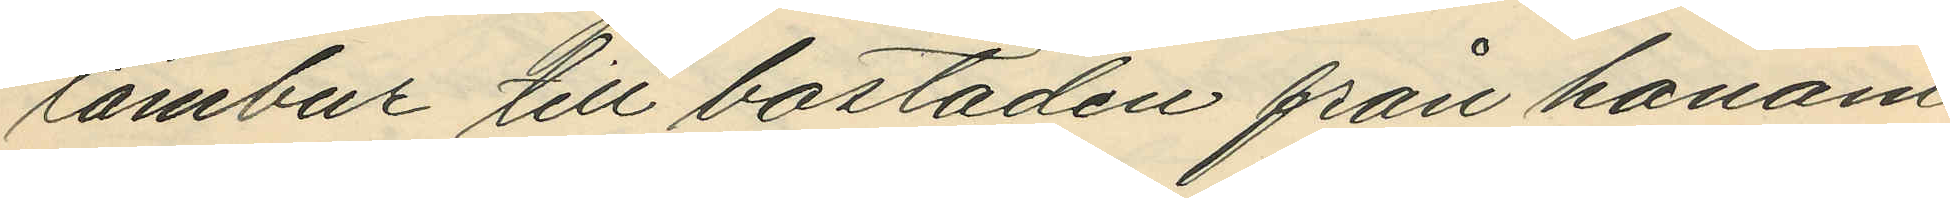tambur till bostaden från honom
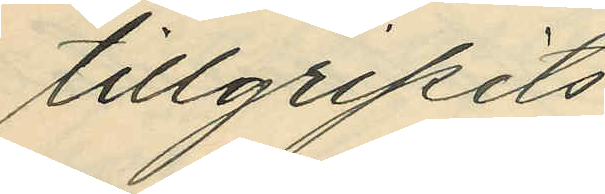tillgripits
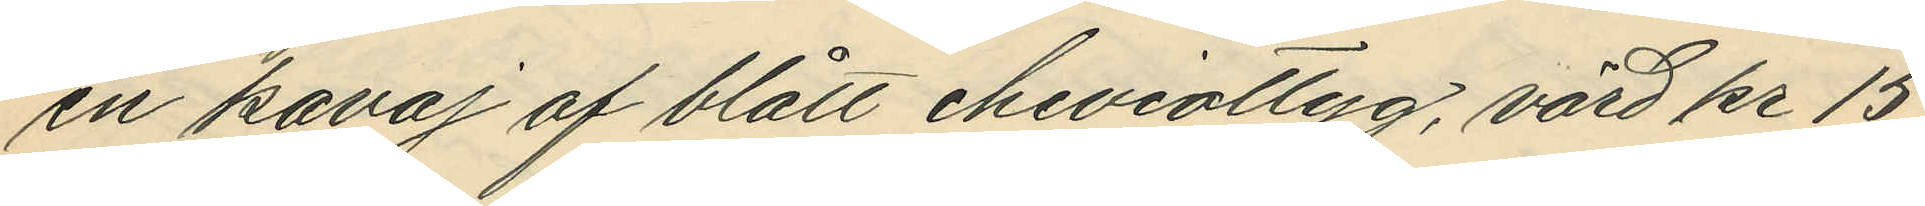en kavaj af blått cheviottyg, värd kr 15
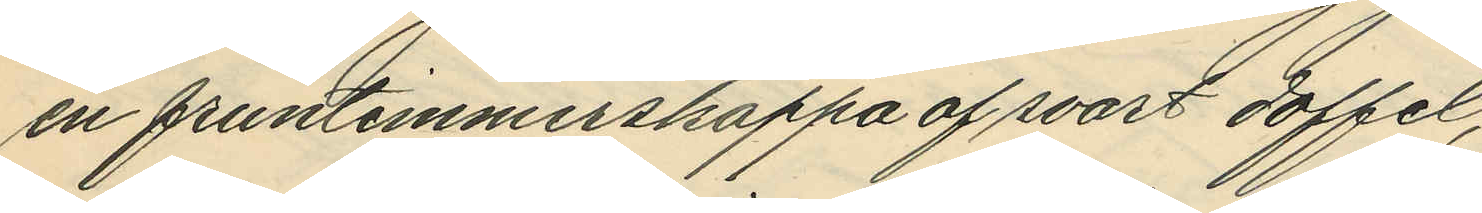en fruntimmerskappa af svart doffel,
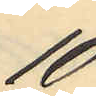10
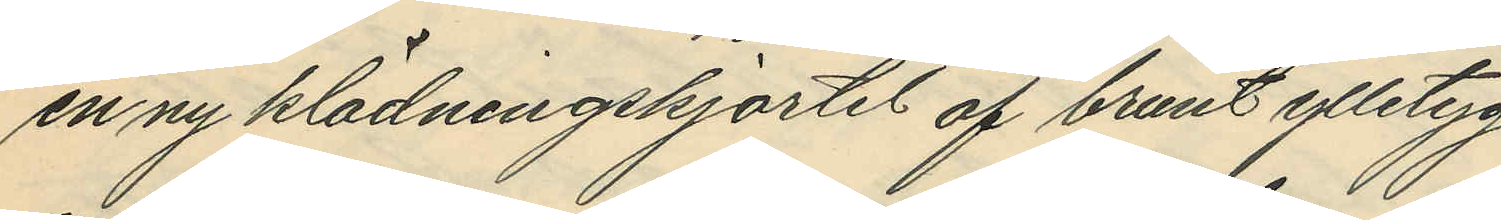en ny klädningskjortel af brunt ylletyg,
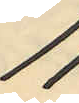11
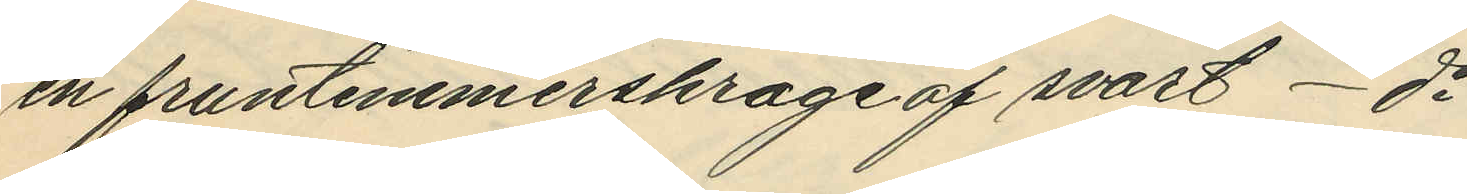en fruntimmerskrage af svart - do
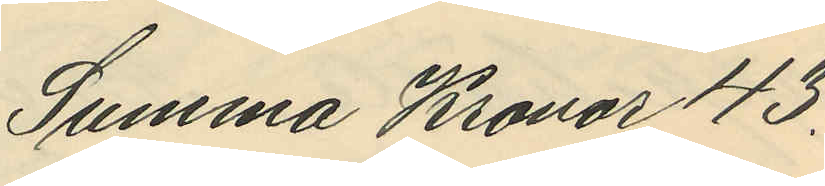Summa Kronor 43.
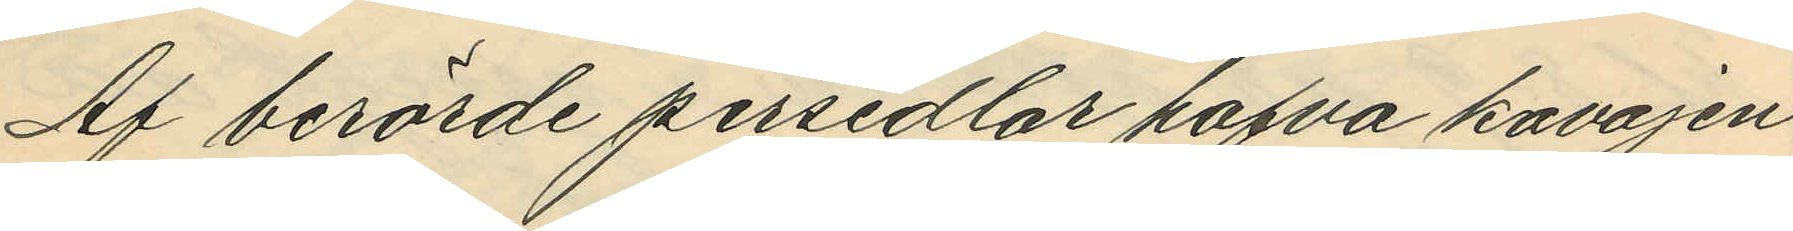Af berörde persedlar hafva kavajen
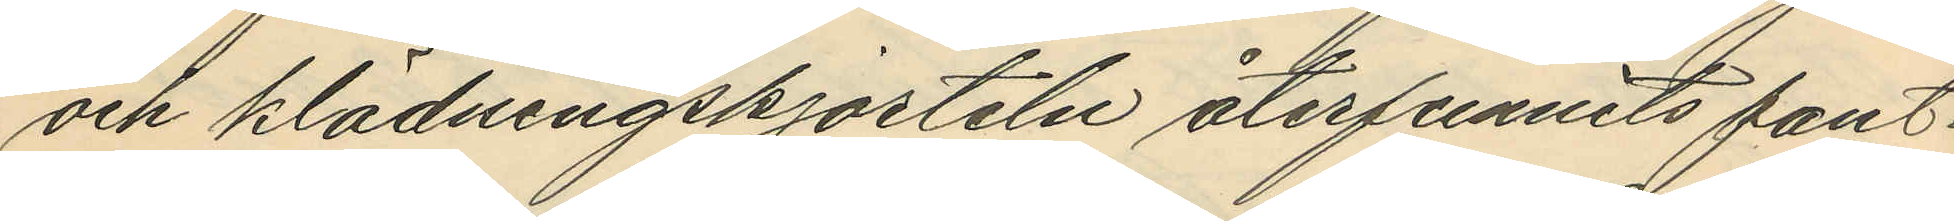och klädningskjorteln återfunnits pant¬
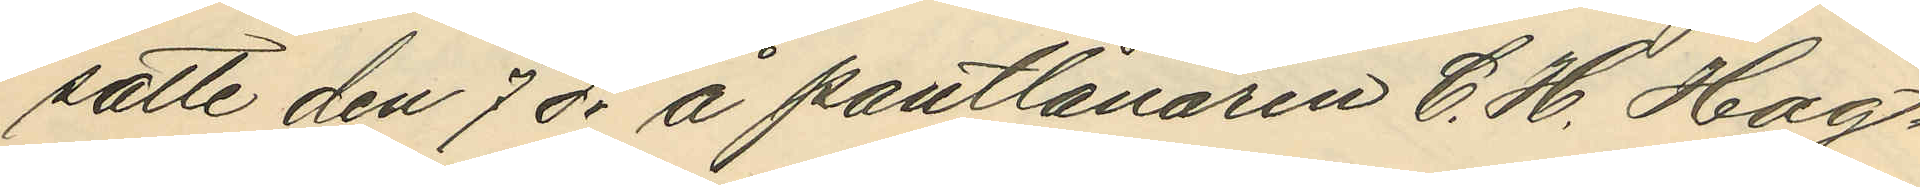satte den 7 ds å pantlånaren C. H. Hag¬
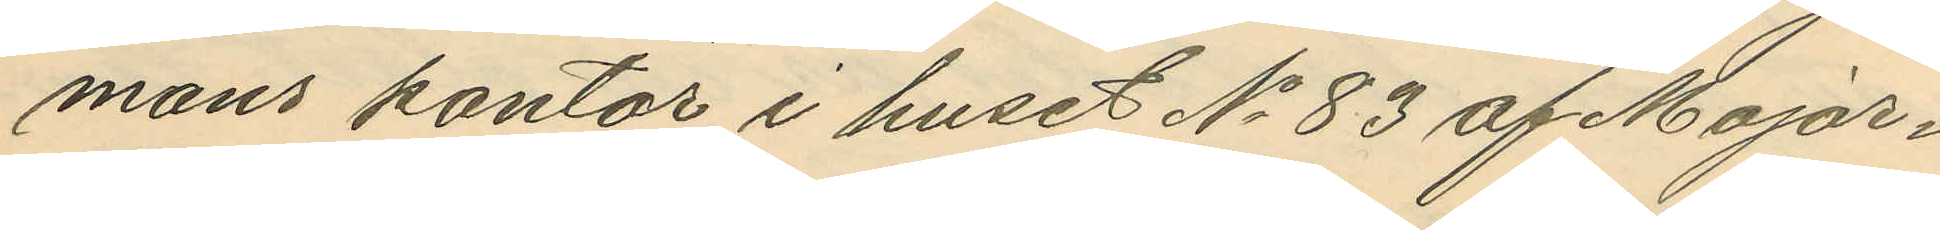mans kontor i huset No 83 af Major¬
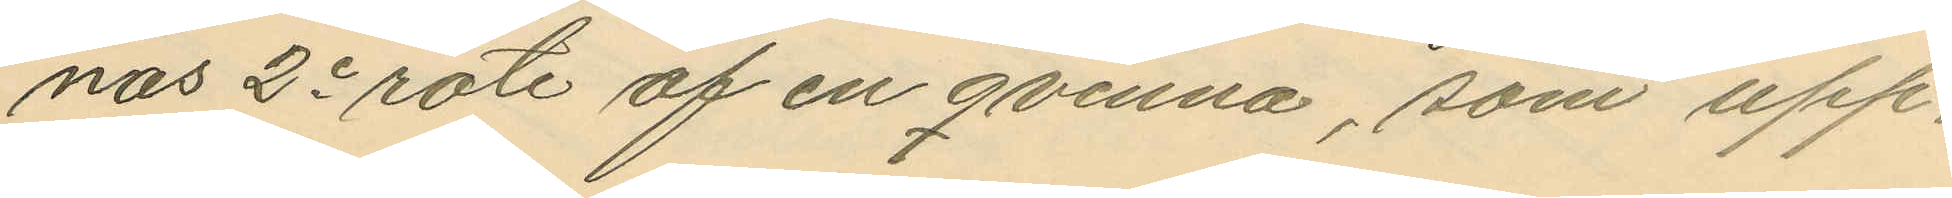nas 2e rote af en qvinna, som upp¬
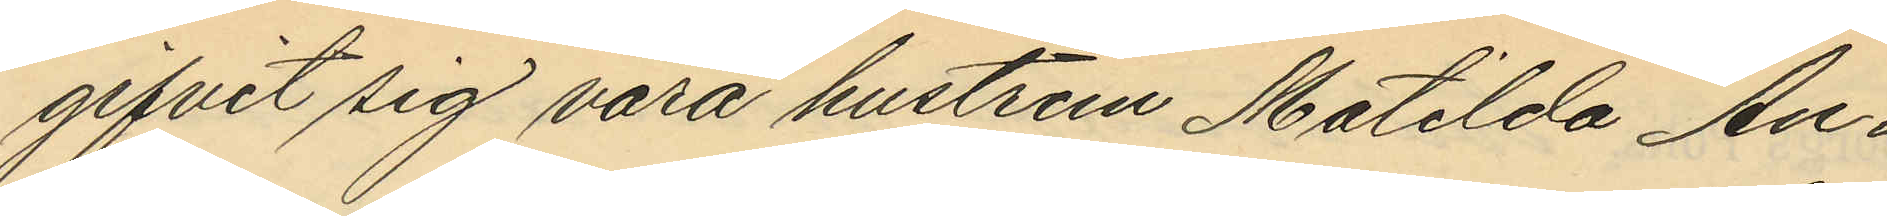gifvit sig vara hustrun Matilda An¬
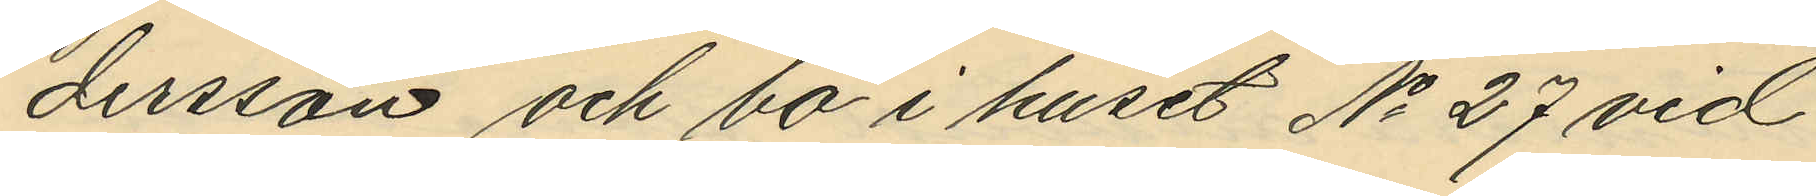dersson och bo i huset No 27 vid
